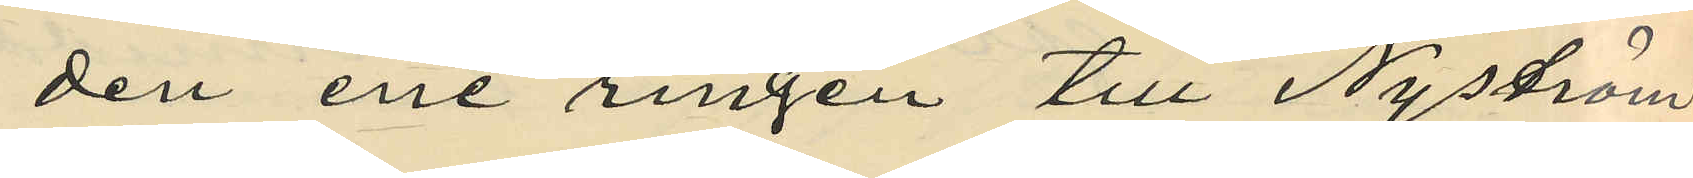den ene ringen till Nyström
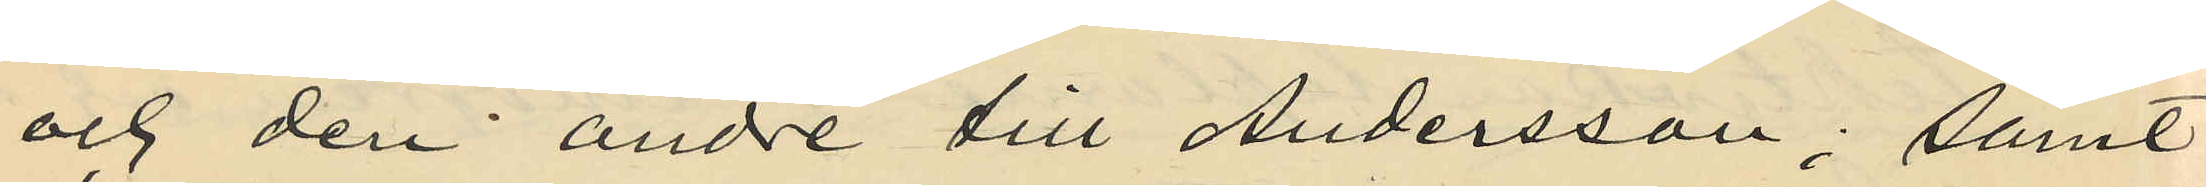och den andre till Andersson; samt
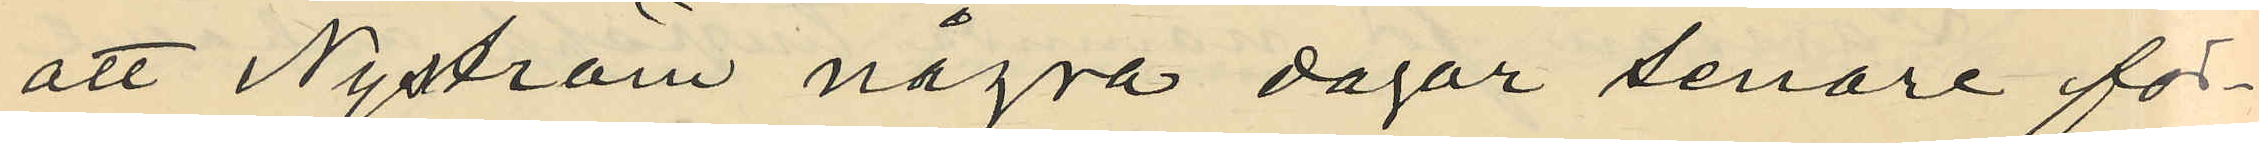att Nyström några dagar senare för¬
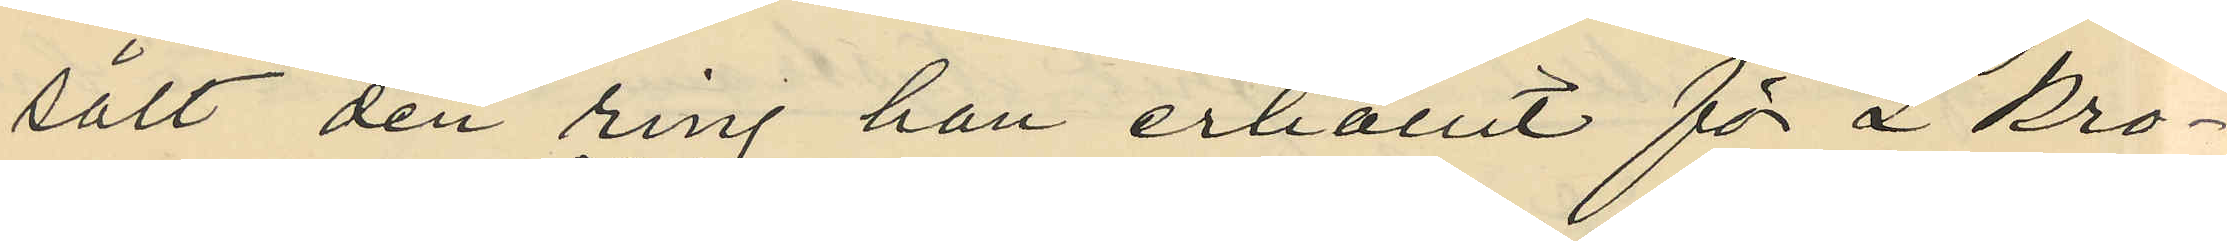sålt den ring han erhållit för 2 kro¬
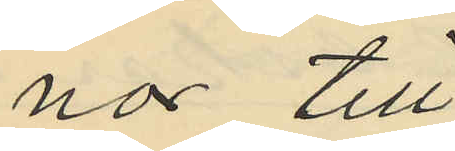nor till
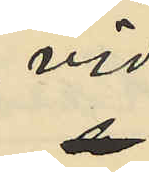vid
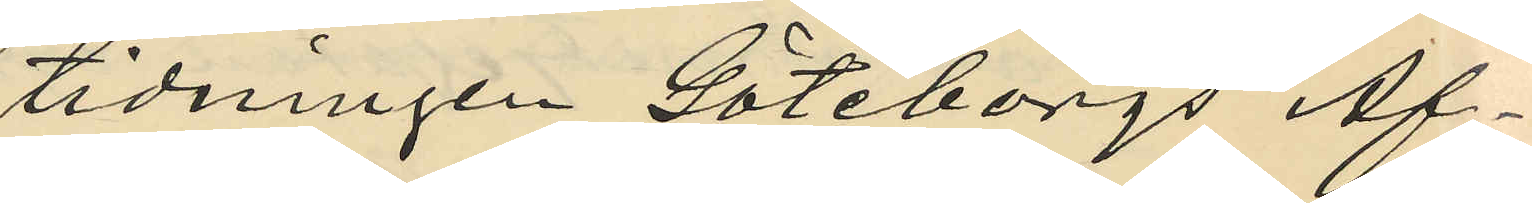tidningen Göteborgs Af¬
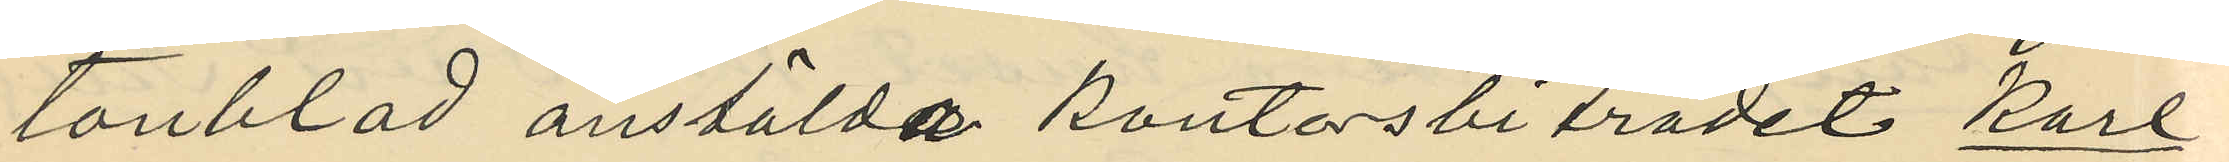tonblad anstälda kontorsbiträdet Karl
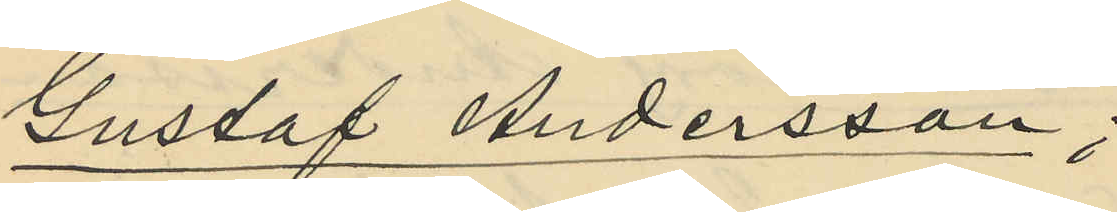Gustaf Andersson;
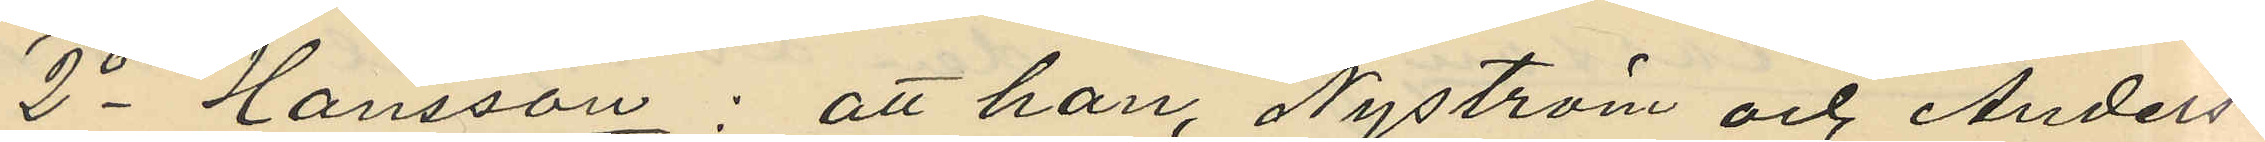2o Hansson: att han, Nyström och Anders¬
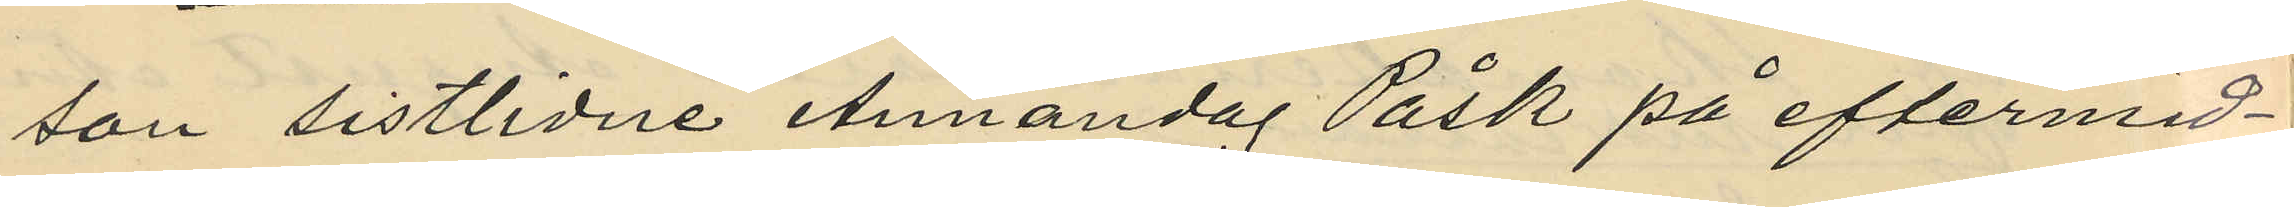son sistlidne Annandag Påsk på eftermid¬
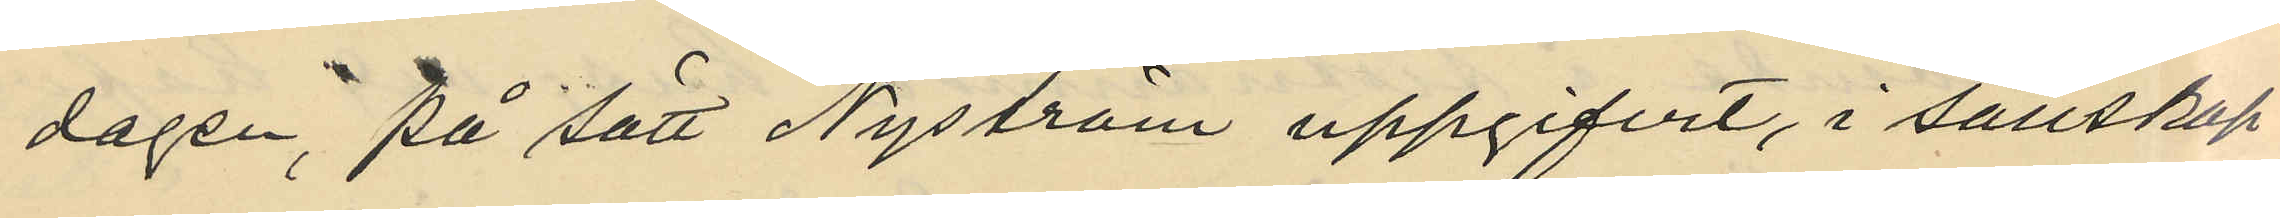dagen, på sätt Nyström uppgifvit, i sällskap
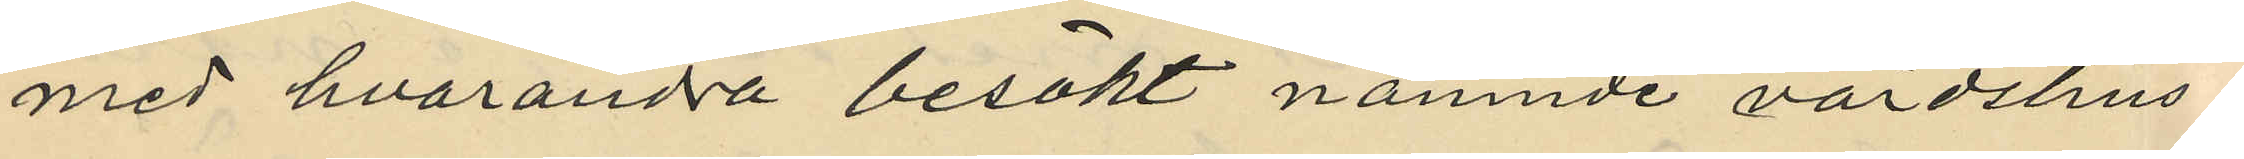med hvarandra besökt nämnde värdshus¬
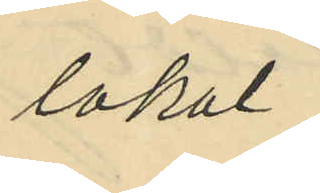lokal;
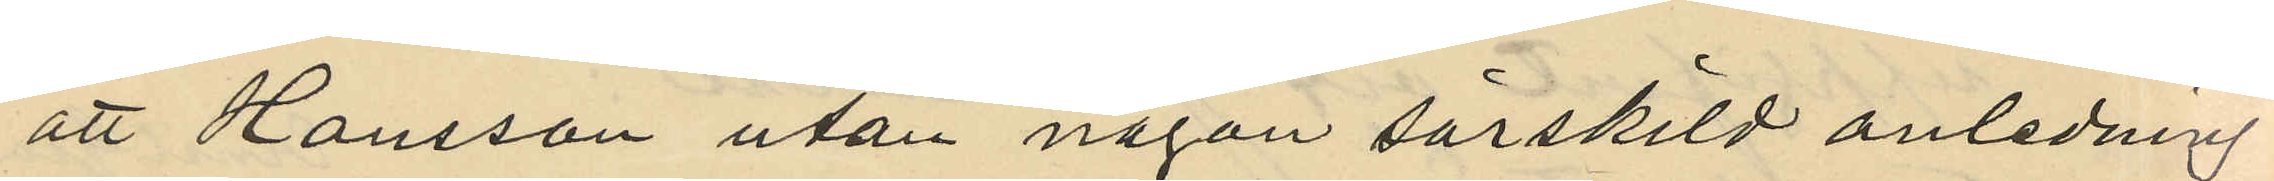att Hansson utan någon särskild anledning
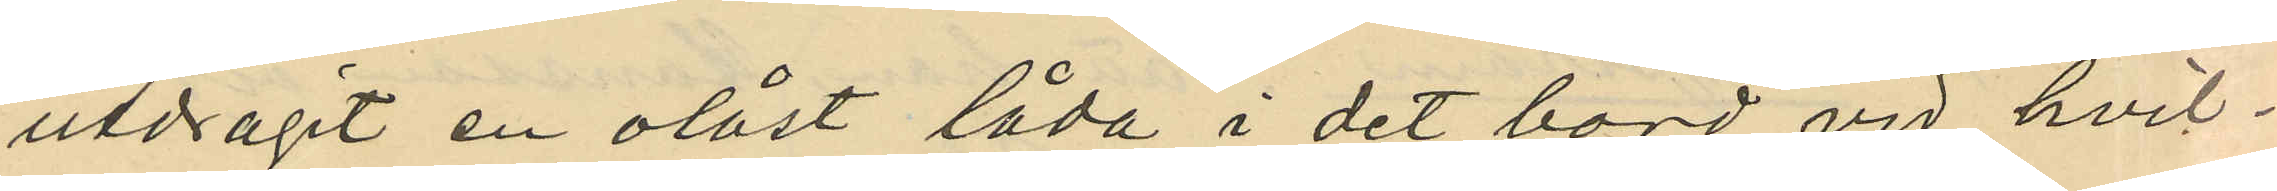utdragit en olåst låda i det bord vid hvil¬
